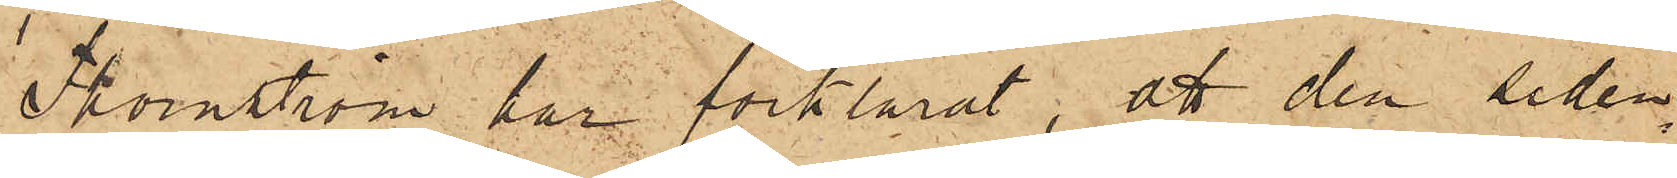Thornström har förklarat, att den siden¬
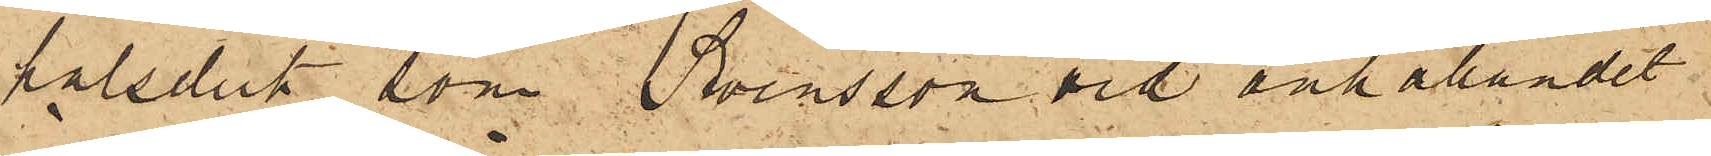halsduk, som Swensson vid anhållandet
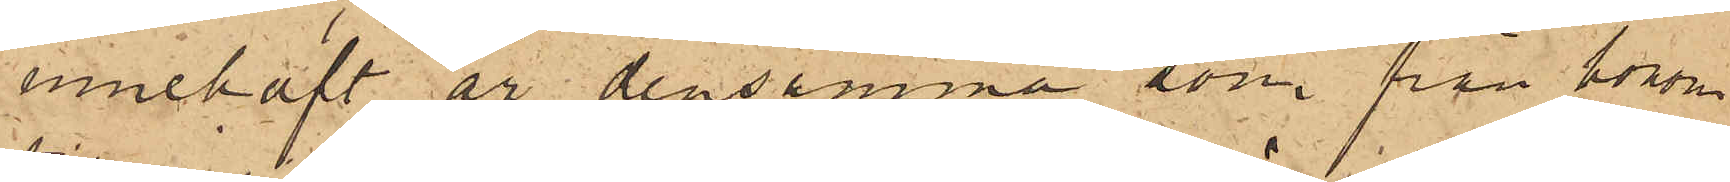innehaft, är densamma som från honom
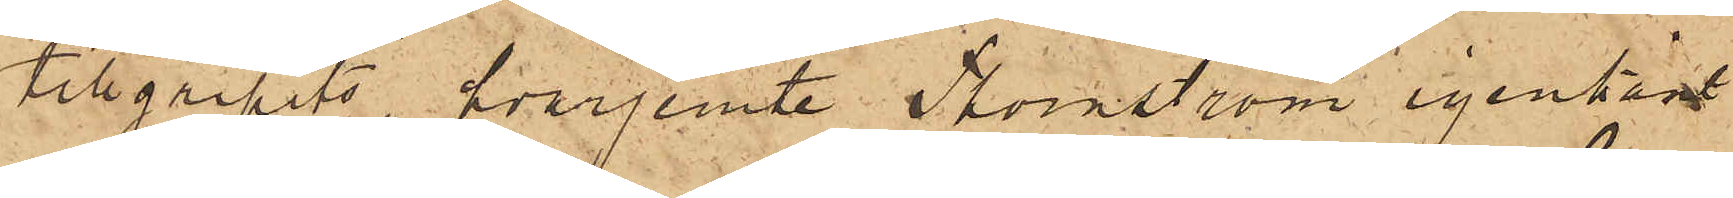tillgripits, hvarjemte Thornström igenkänt
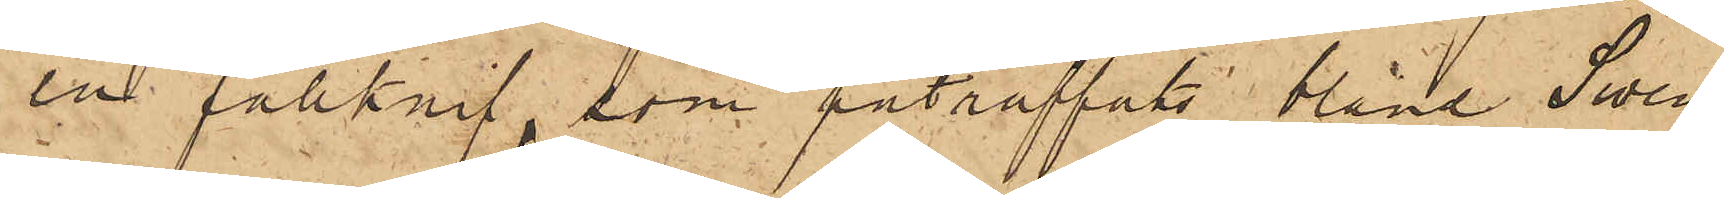en fällknif, som påträffats bland Swen¬
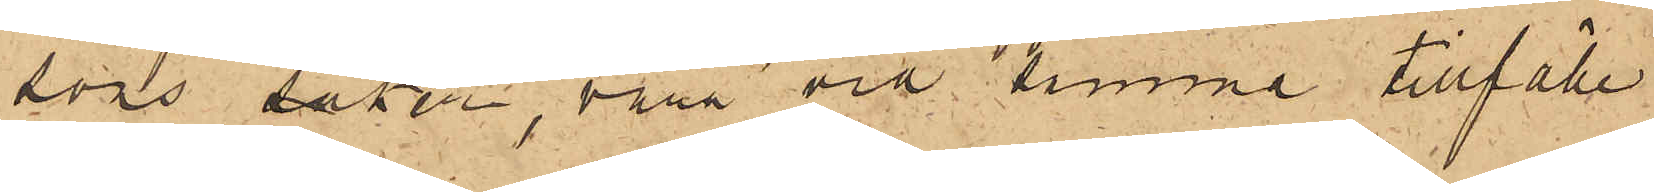sons saker, vara vid samma tillfälle
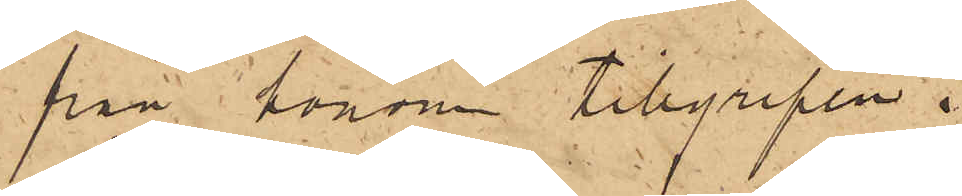från honom tillgripen.
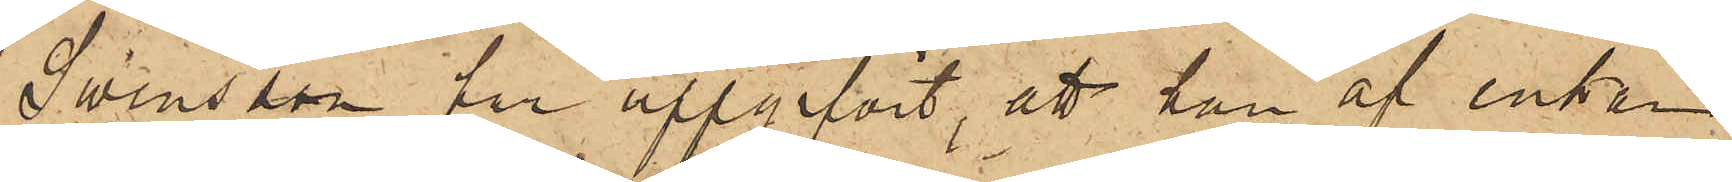Swensson har uppgifvit, att han af enkan
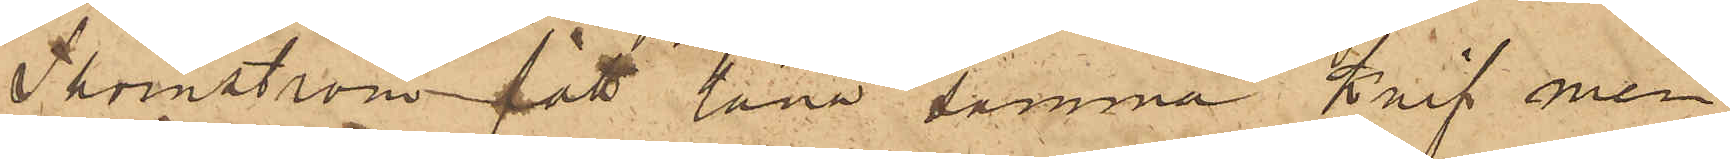Thomström fått låna samma knif men
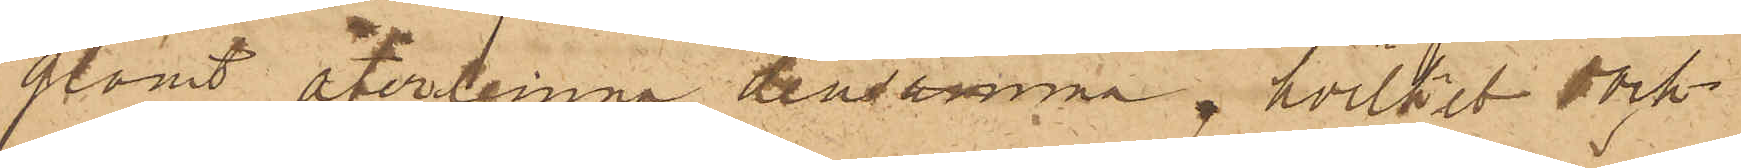glömt återlemna densamma, hvilket dock
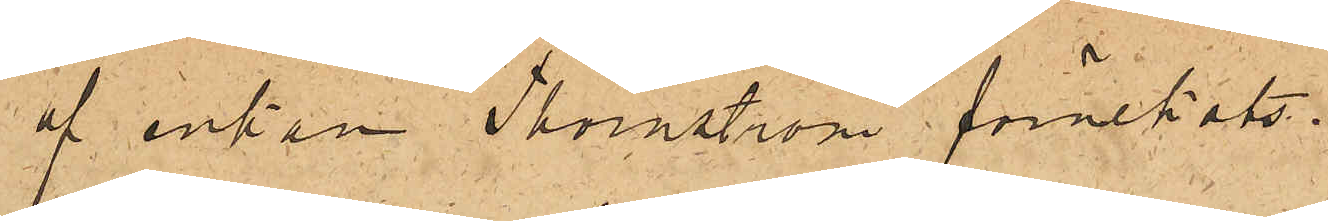af enkan Thornström förnekats.
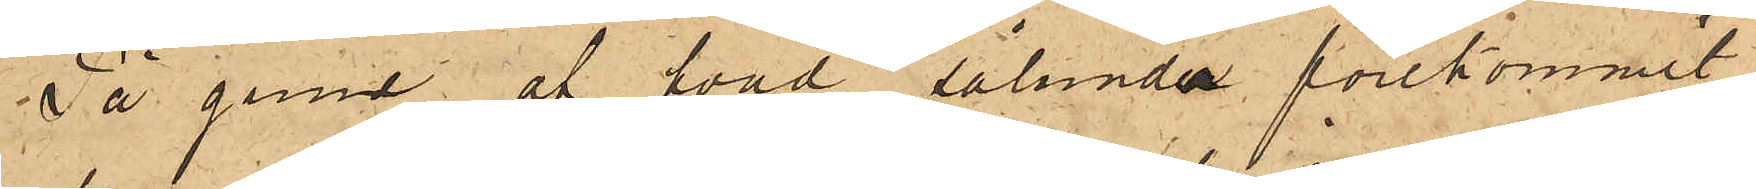På grund af hvad sålunda förekommit,
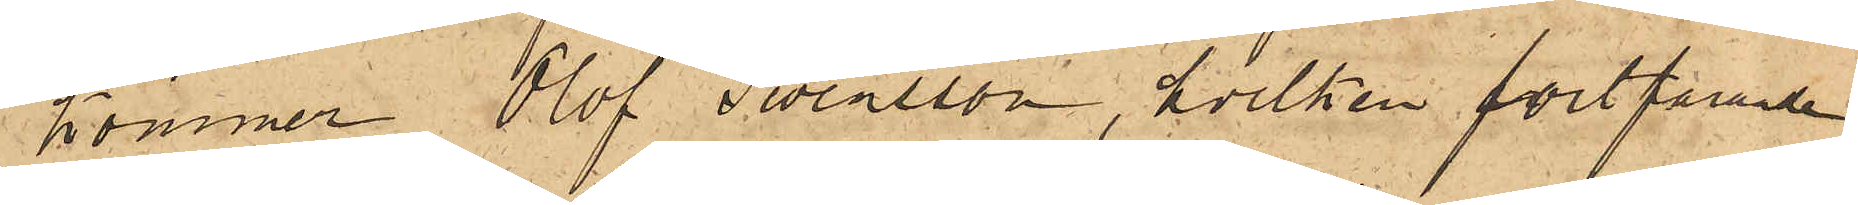kommer Olof Swensson, hvilken fortfarande
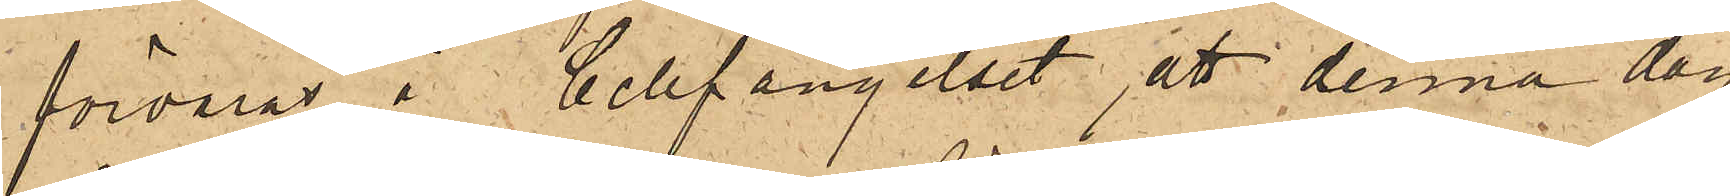förvaras i Cellfängelset, att denna dag
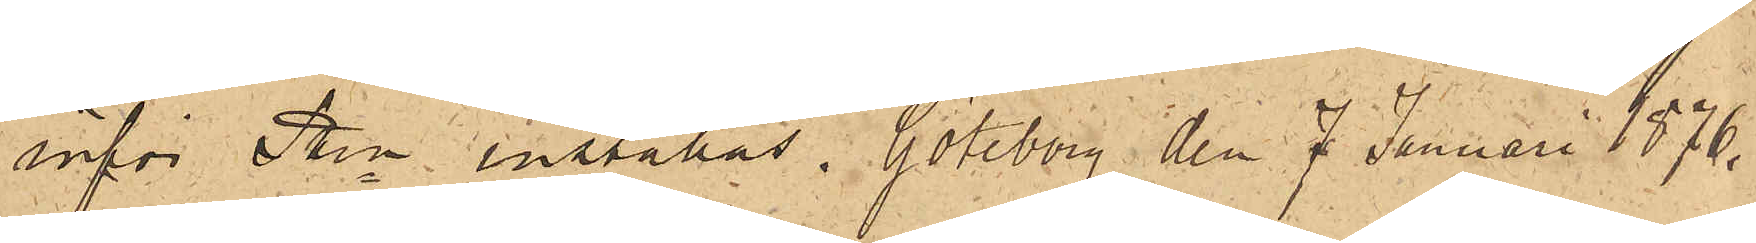inför PKn inställas. Göteborg den 7 Januari 1876.
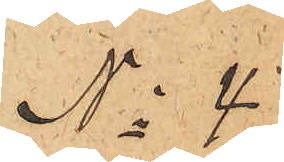No 4.
